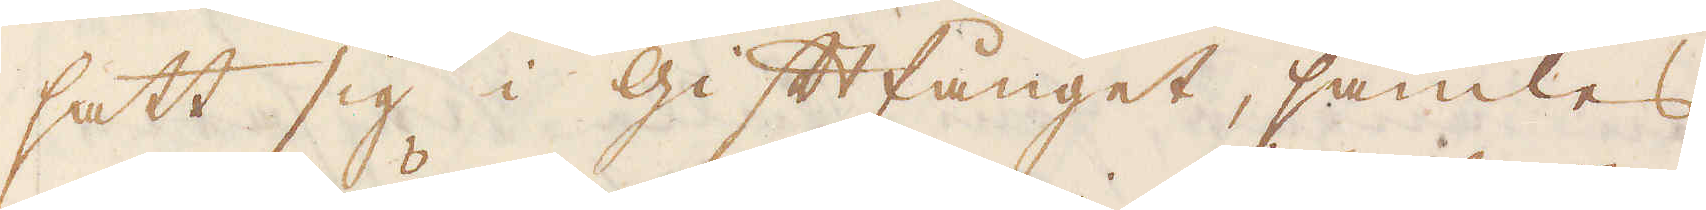satt sig i Gift fånget, samles
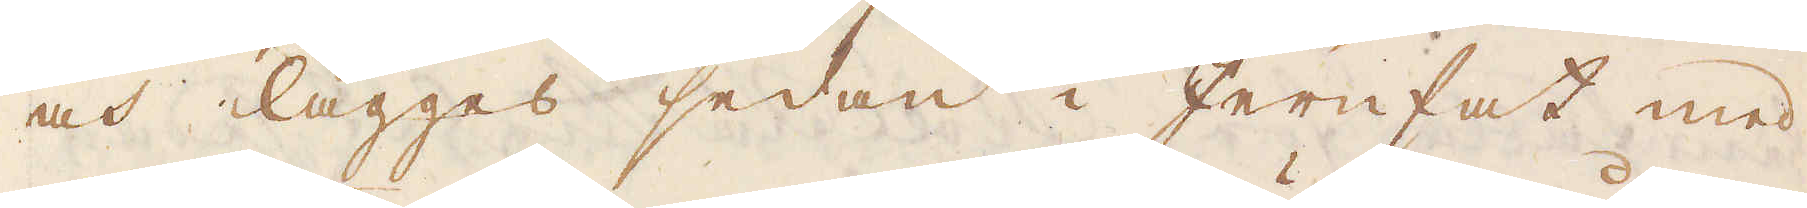och lägges sedan i Jernfat med
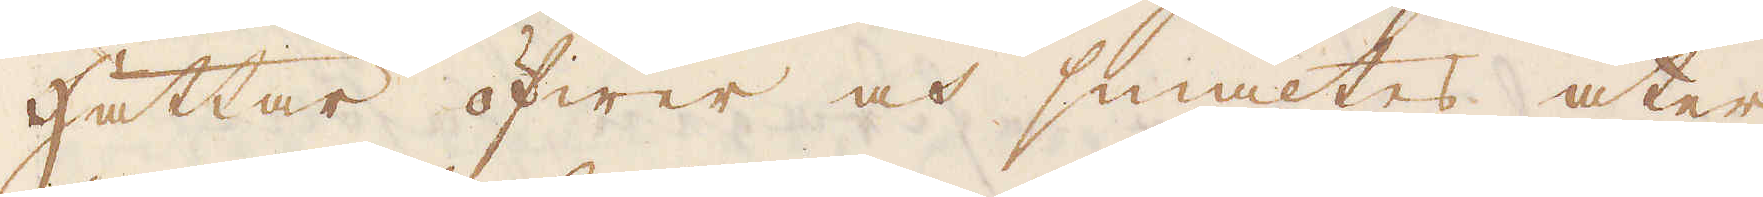Hättar öfwer och smältes åter,
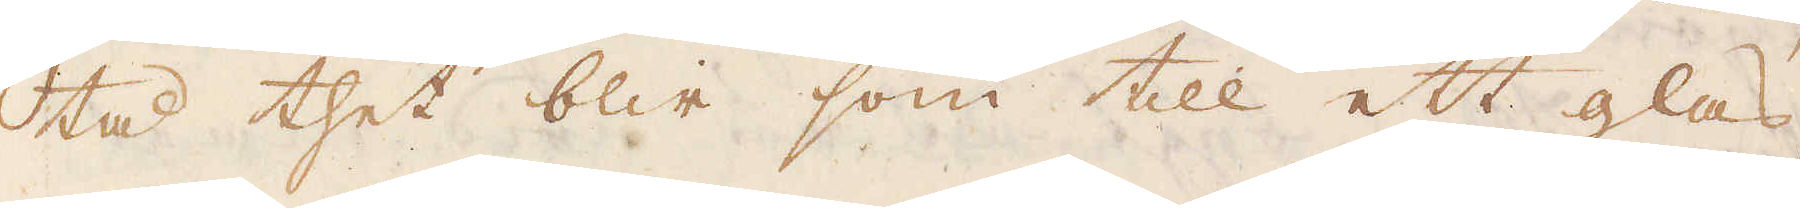tå thet blir som till ett glas,
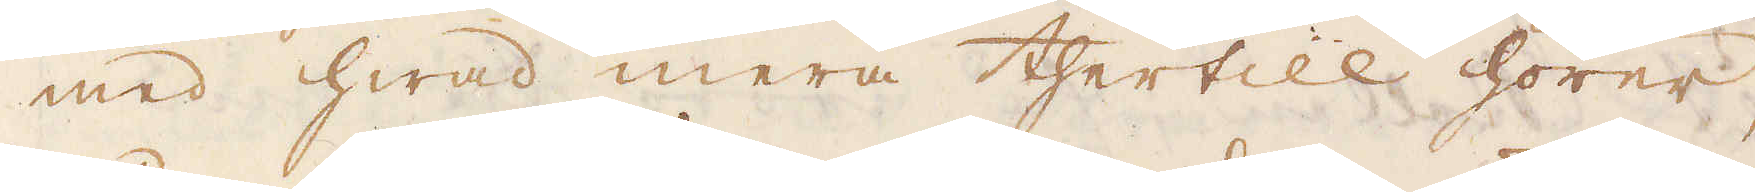med hwad mera thertill hörer,
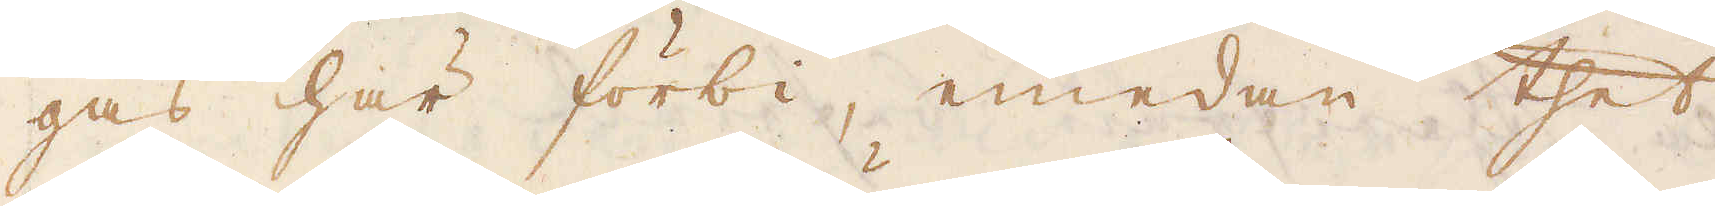gås här förbi, emedan thet
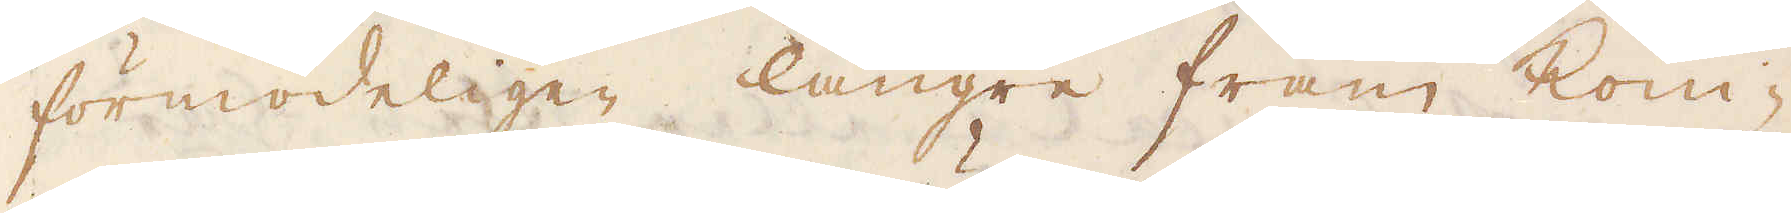förmodeligen längre fram kom-
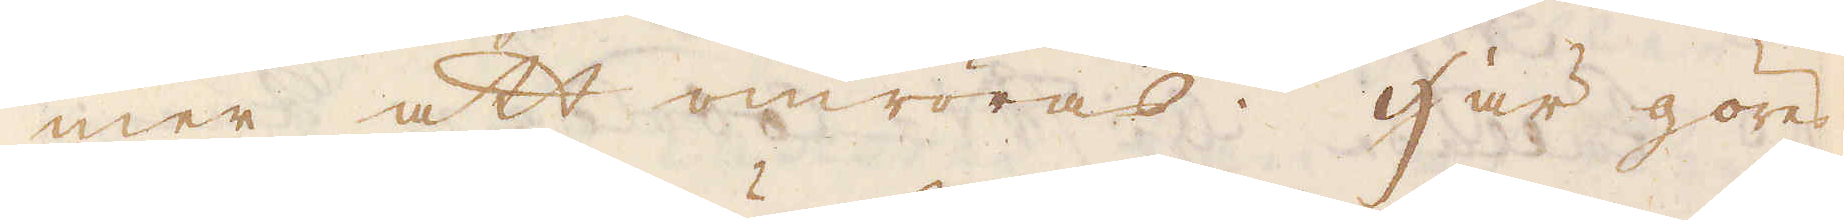mer att omröras. Här göres
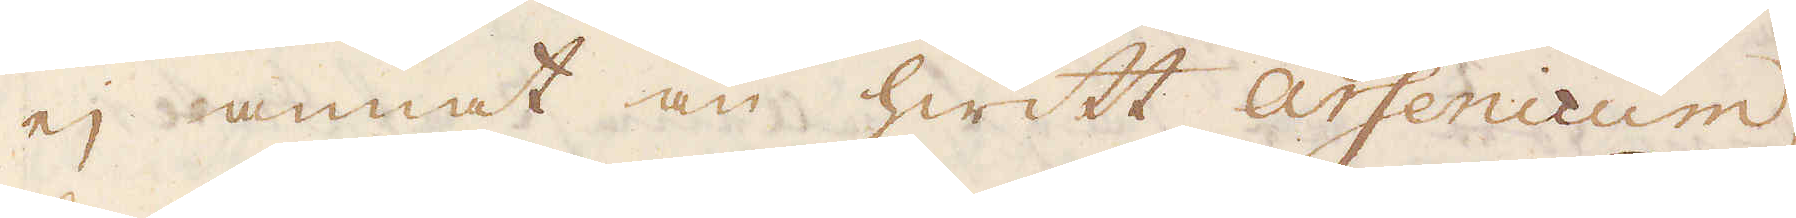ej annat än hwitt Arsenicum,
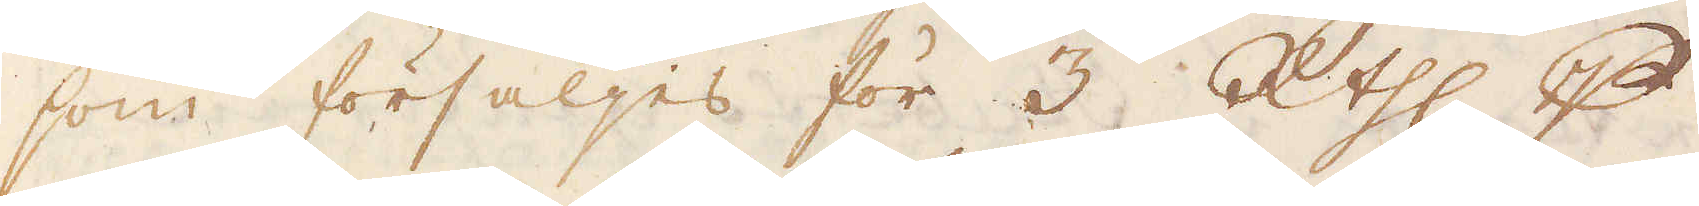som försäljes för 3 R:thl p
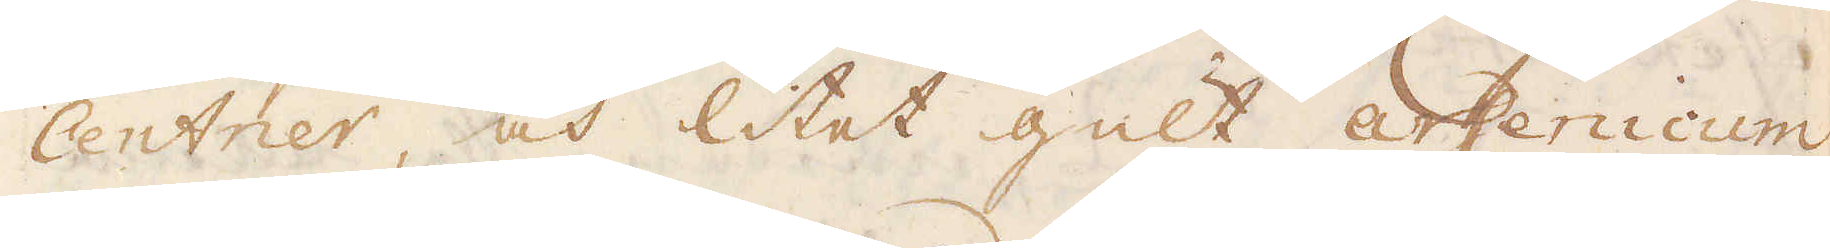Centner, och litet gult arsenicum,
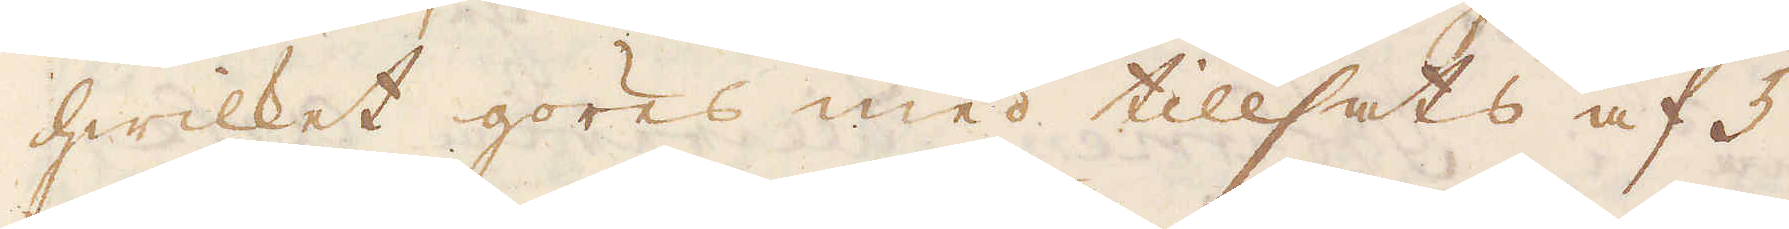hwilket göres med tillsats af 5
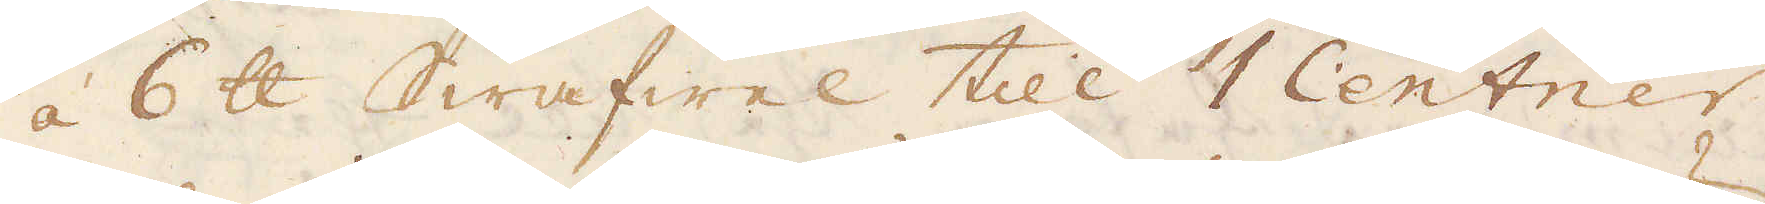á 6 skålpund Swafwel till 1 Centner
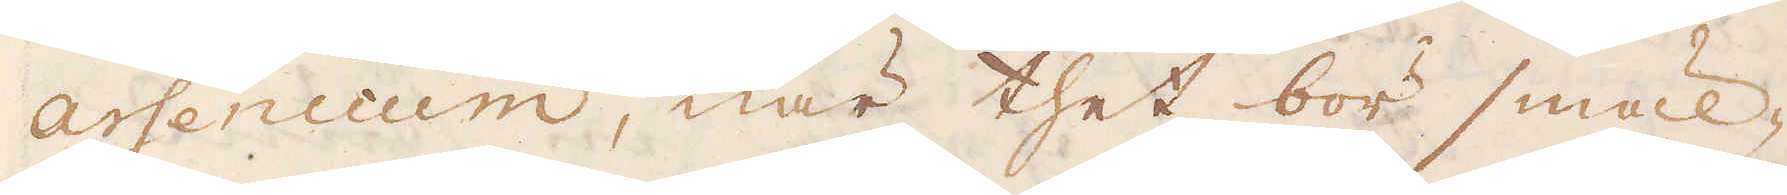arsenicum, när thet bör smäl-
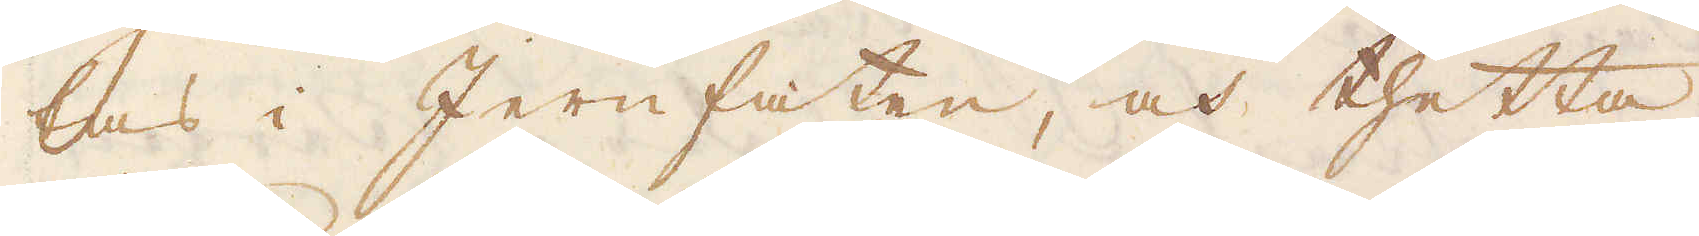tas i Jernfaten, och thetta
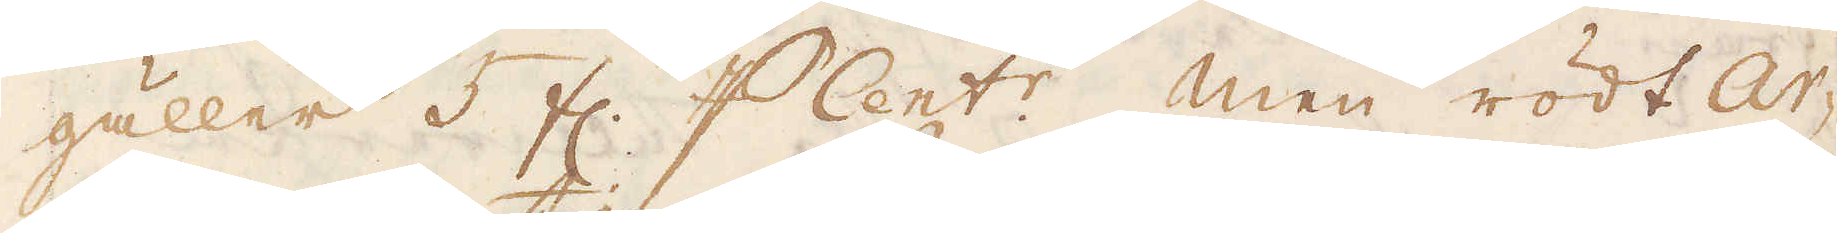gäller 5 fl. p Cent:r. Men rödt Ar-
